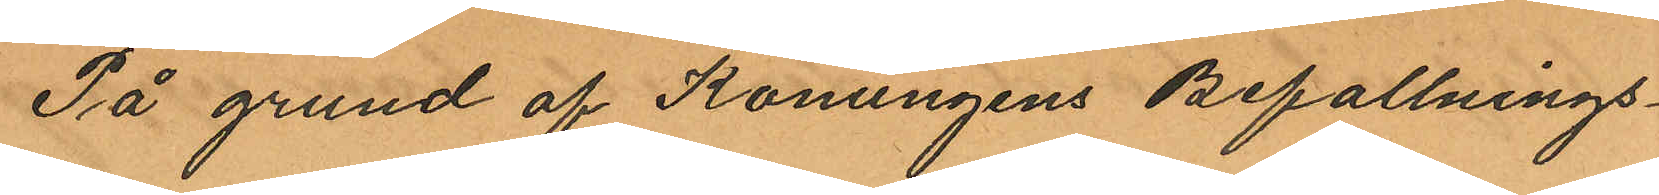På grund af Konungens Befallnings¬
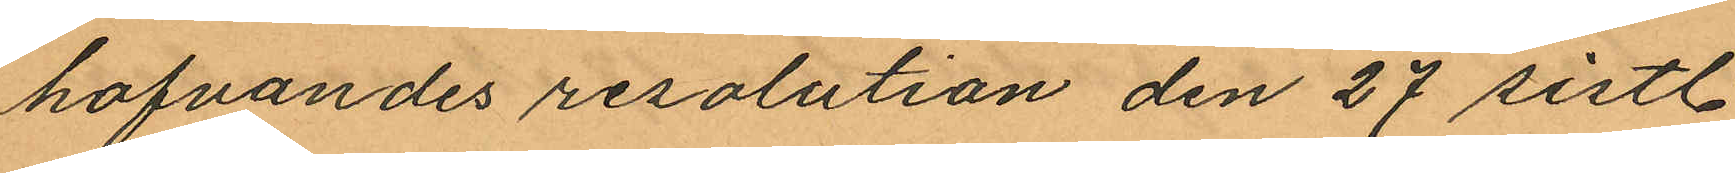hafvandes resolution den 27 sistl.
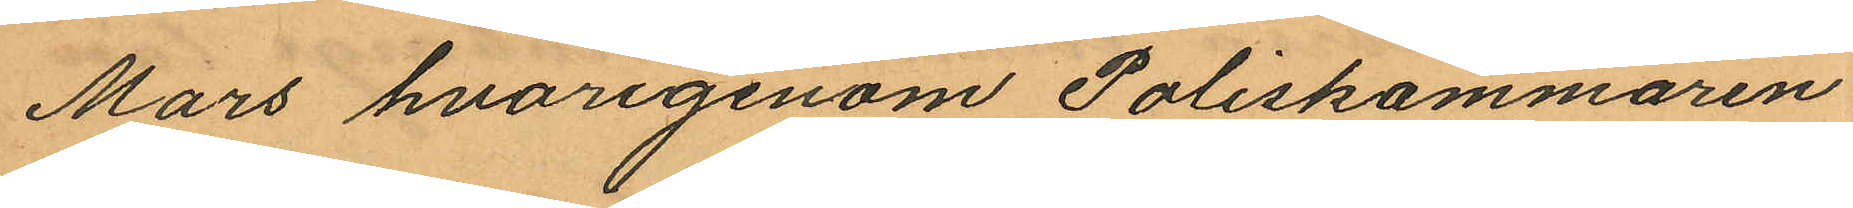Mars hvarigenom Poliskammaren
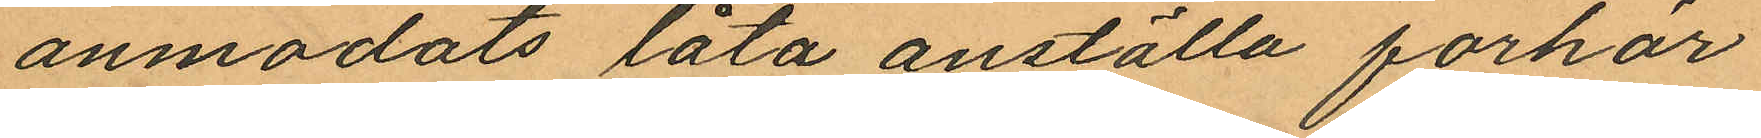anmodats låta anställa förhör
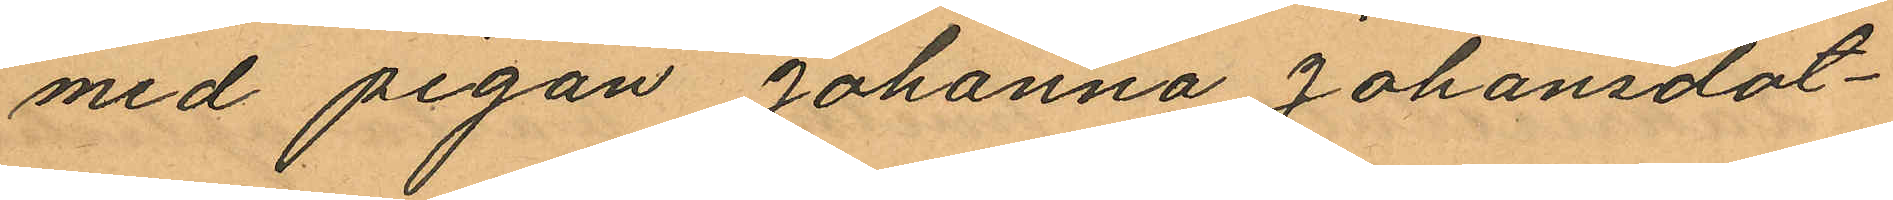med pigan Johanna Johansdot¬
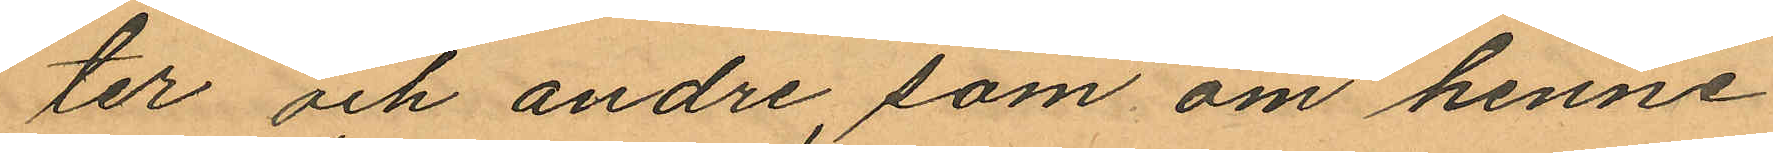ter och andre, som om henne
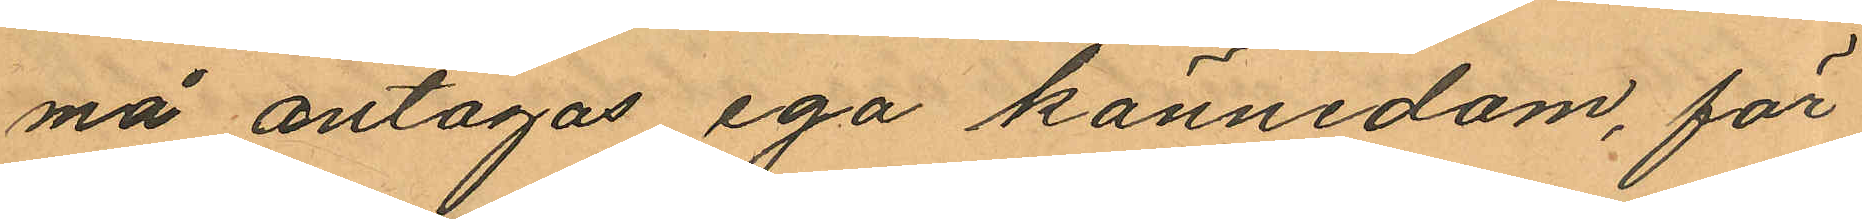må antagas ega kännedom, för
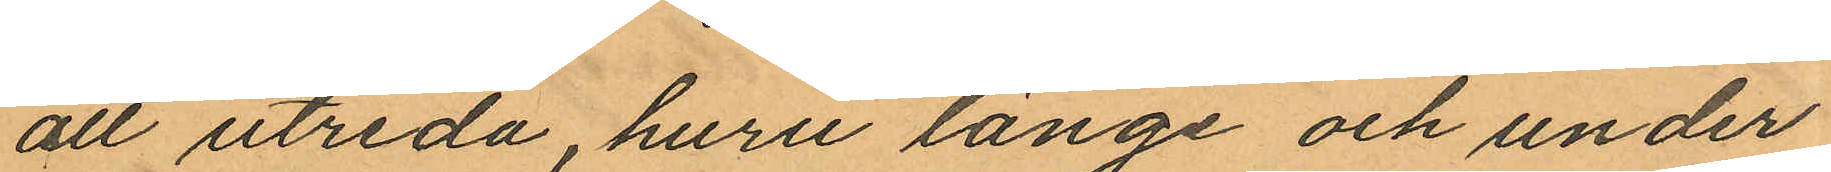att utreda, huru länge och under
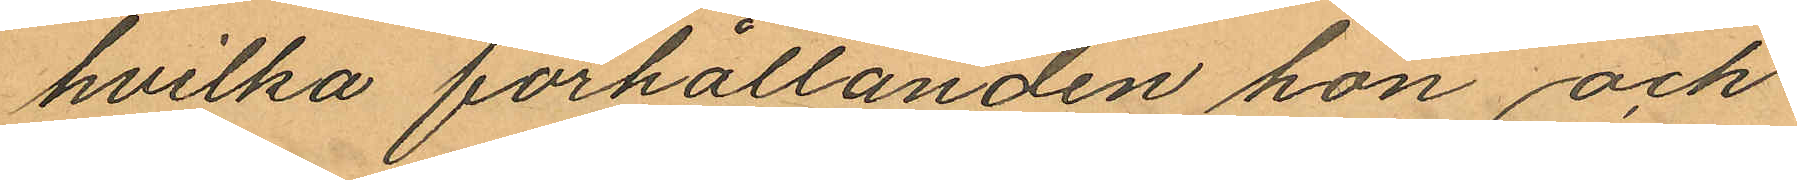hvilka förhållanden hon och
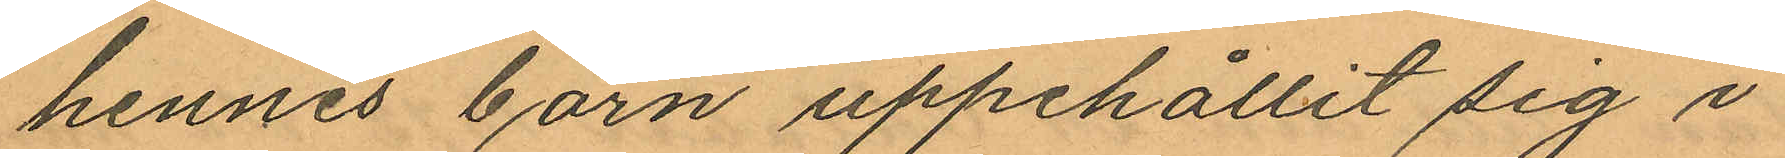hennes barn uppehållit sig i
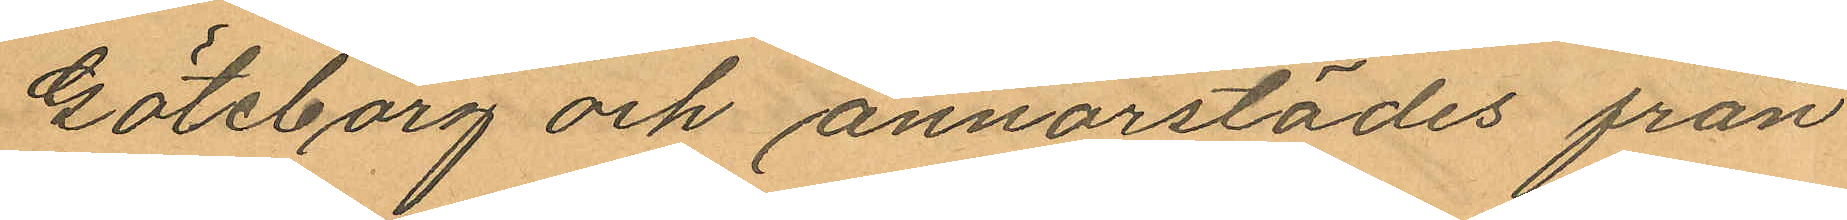Göteborg och annorstädes från
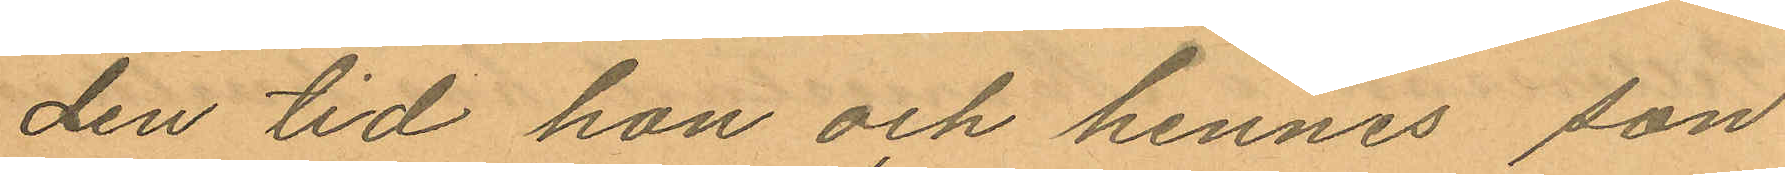den tid hon och hennes son
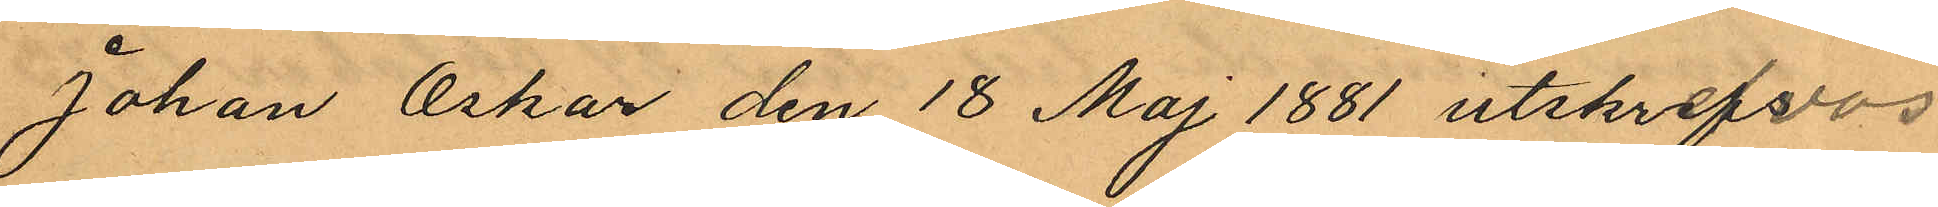Johan Oskar den 18 Maj 1881 utskrefvos
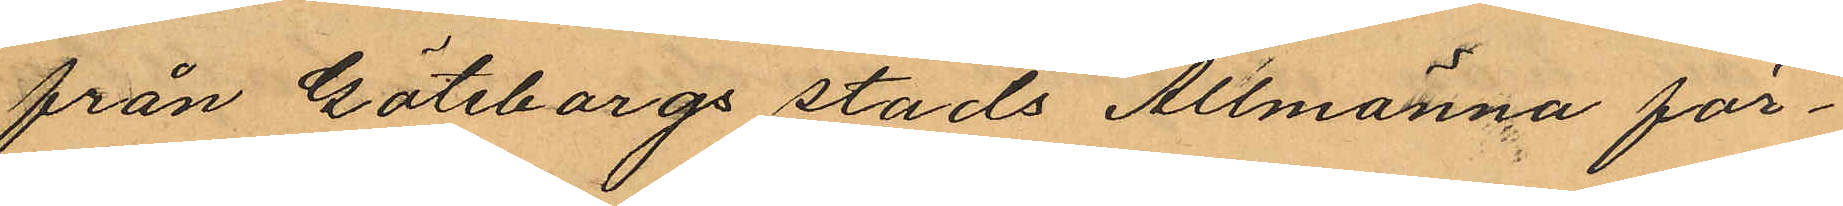från Göteborgs stads Allmänna för¬
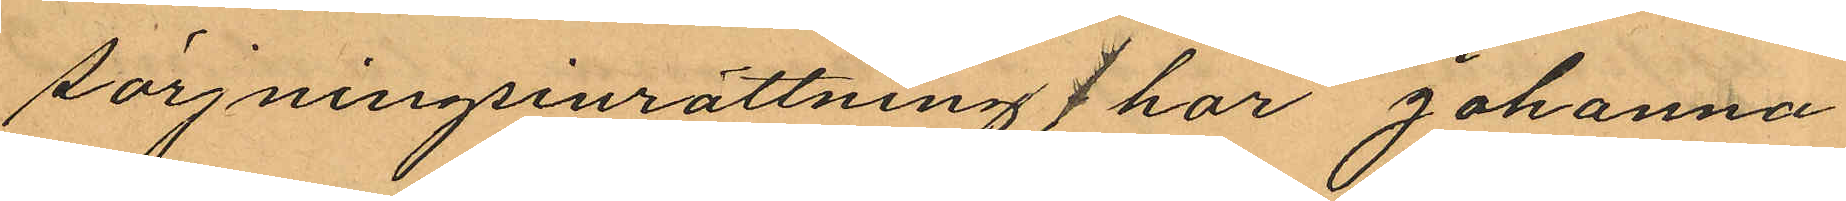sörjningsinrättning / har Johanna
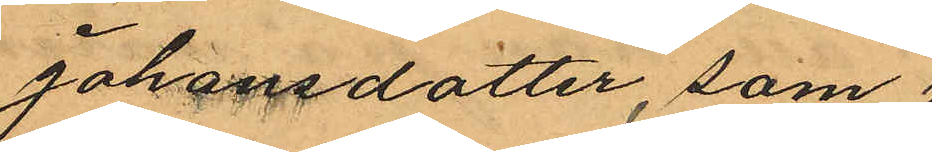Johansdotter, som
